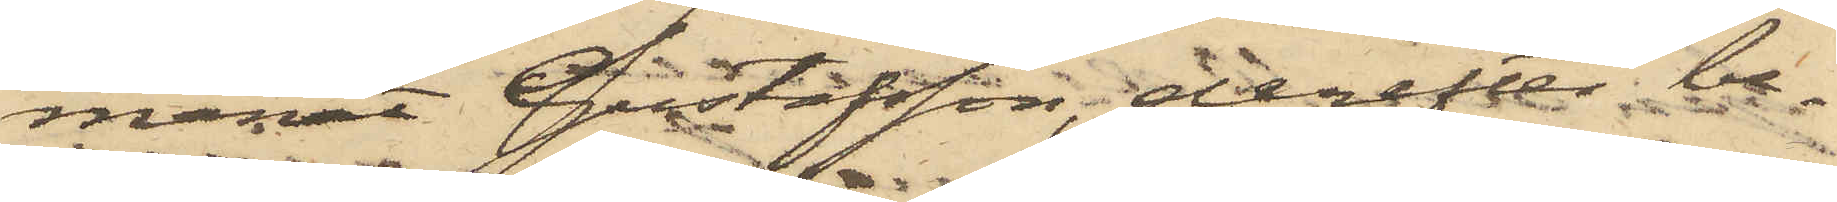manat Gustafsson, derefter be¬
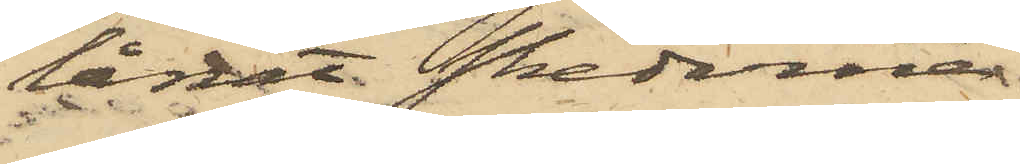lånat skedarna
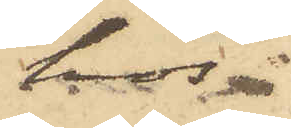hos
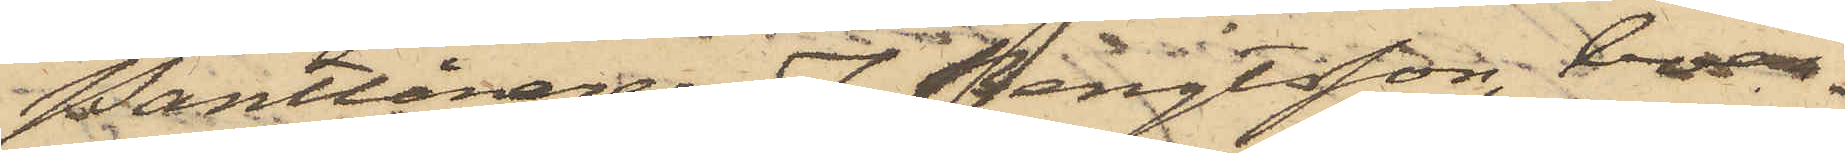Pantlånaren J. Bengtsson, boen¬
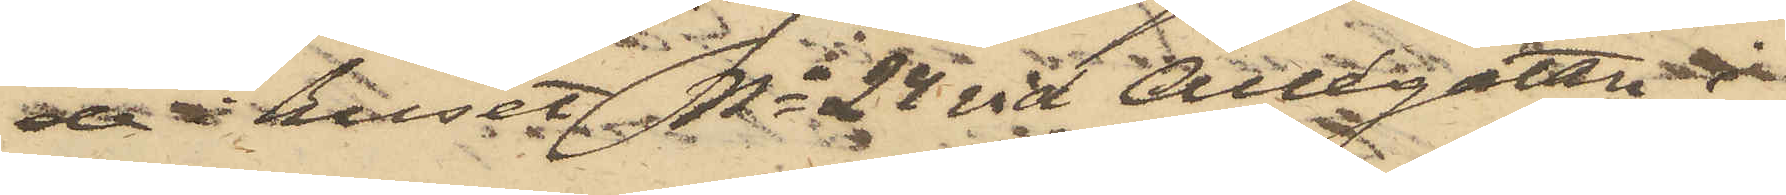 de i huset No 24 vid Allégatan i
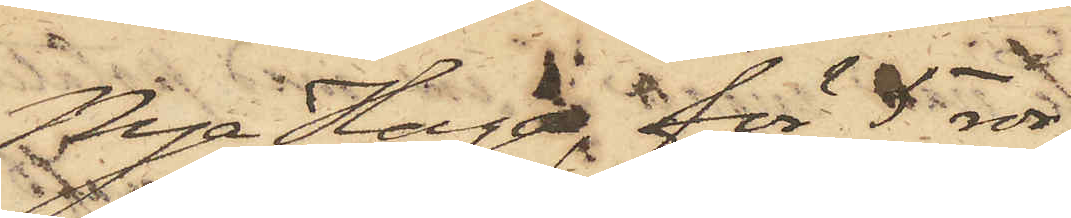Nya Haga, för 5 rdr,
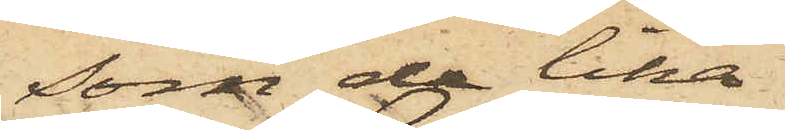som de lika
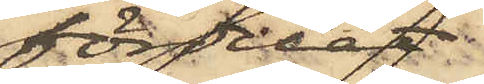fördelat;
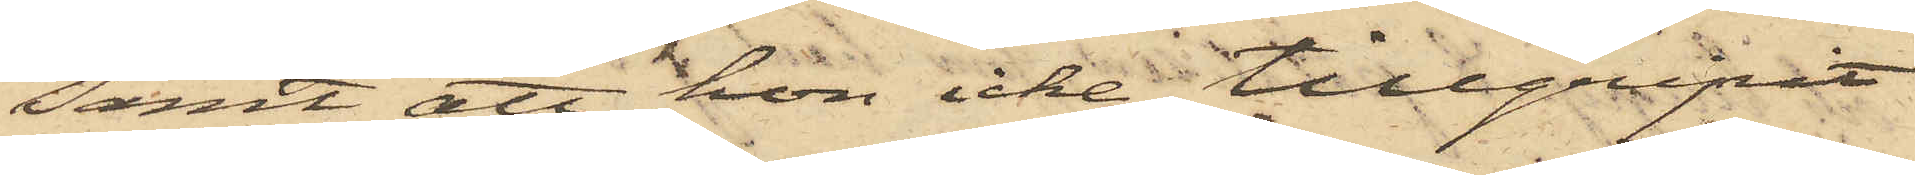samt att hon icke tillgripit
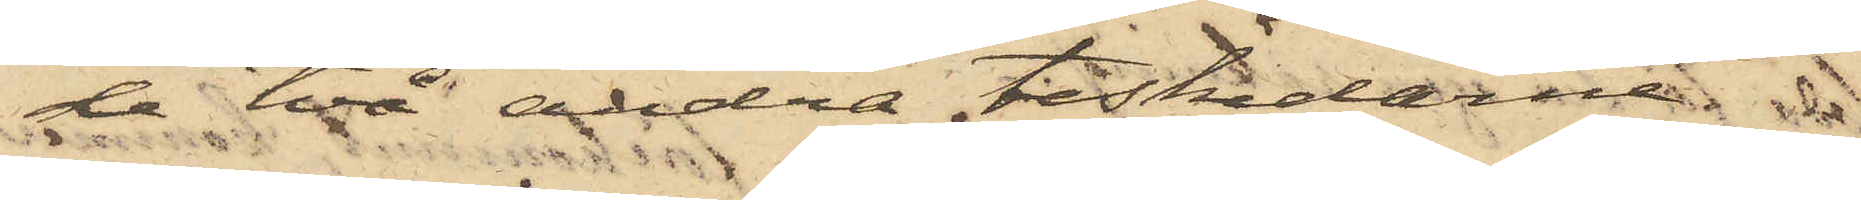de två andra teskedarne.
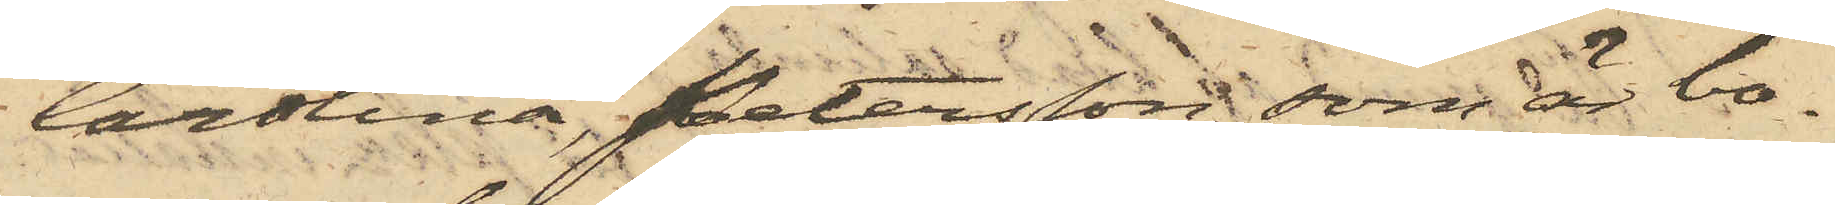Carolina Petersson, som är bo¬
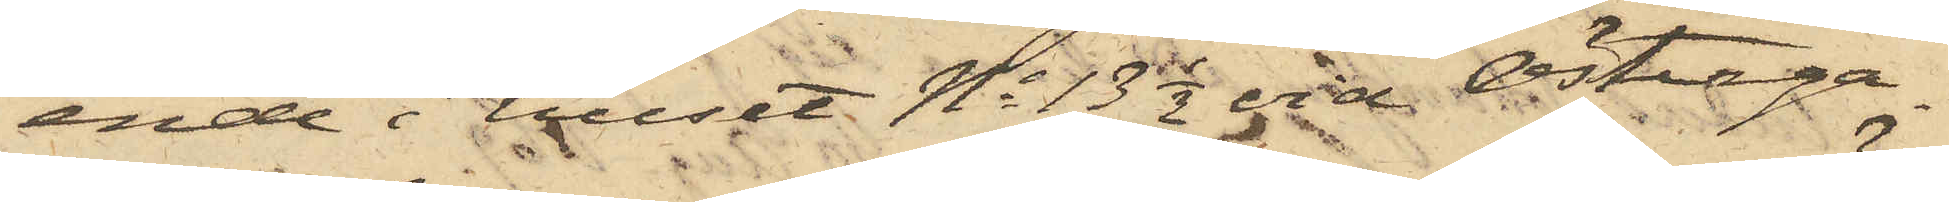ende i huset No 13 1/2 vid Österga¬
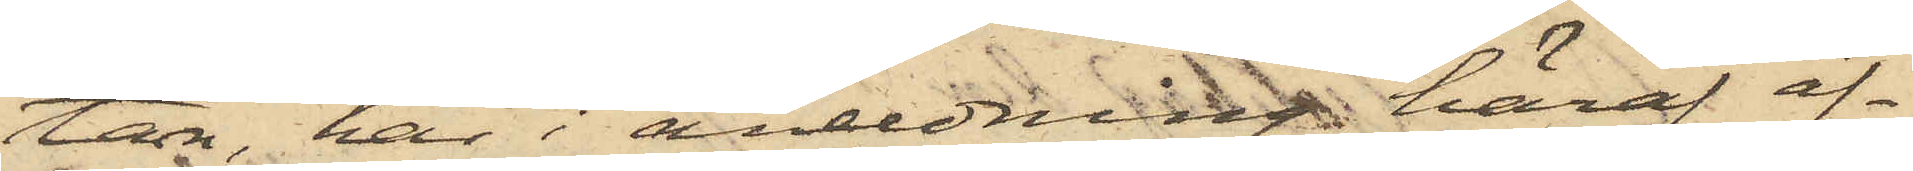tan, har i anledning häraf äf¬
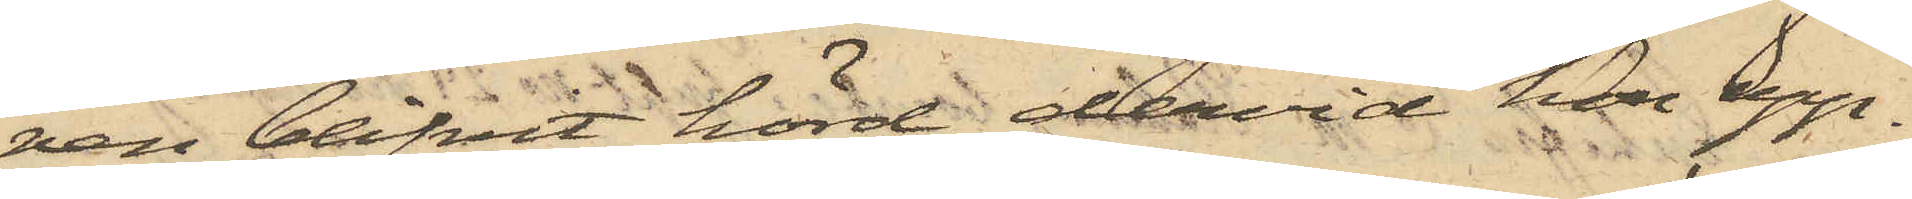ven blifvit hörd, dervid hon upp¬
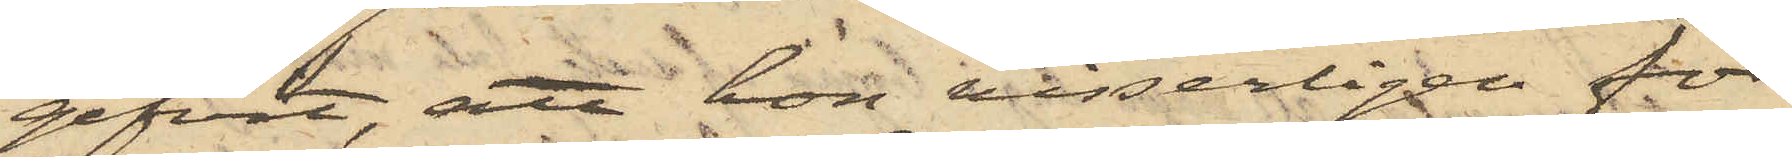gifvit, att hon visserligen för
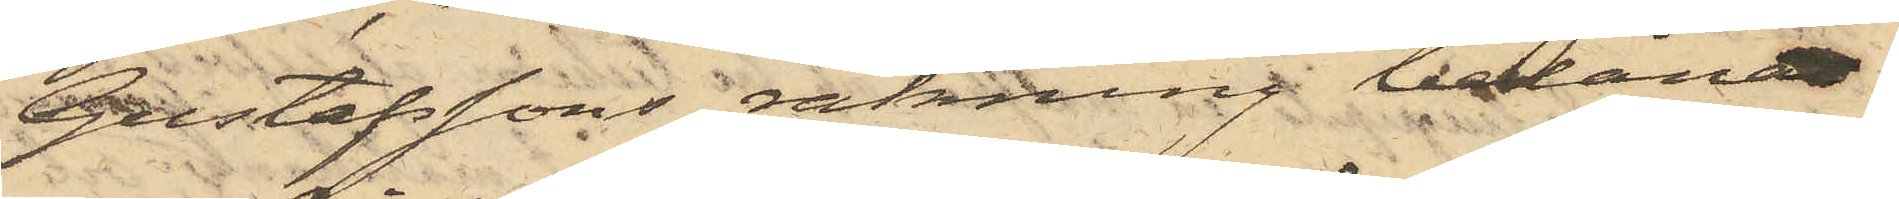Gustafssons räkning belånat
